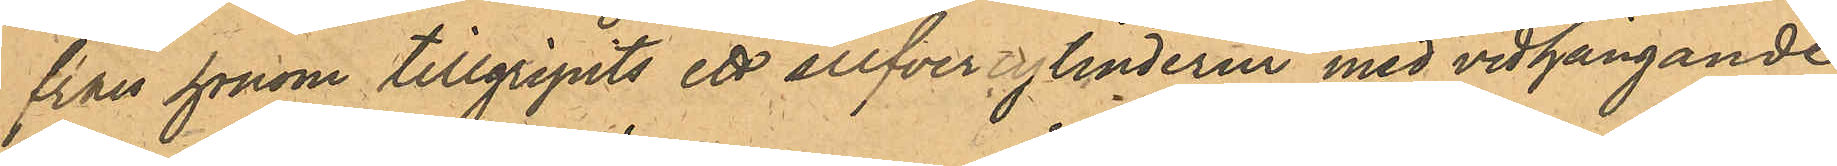från honom tillgripits ett silfvercylinderur med vidhängande
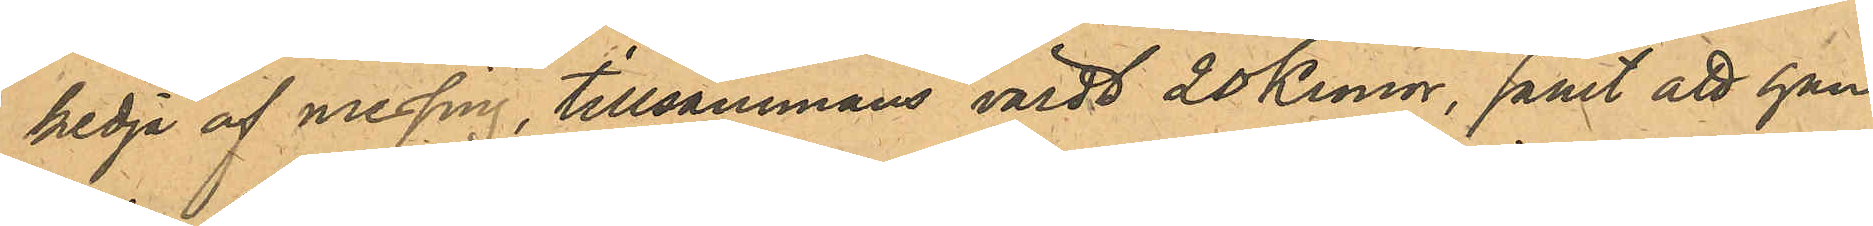kedja af messing, tillsammans värdt 20 Kronor, samt att han
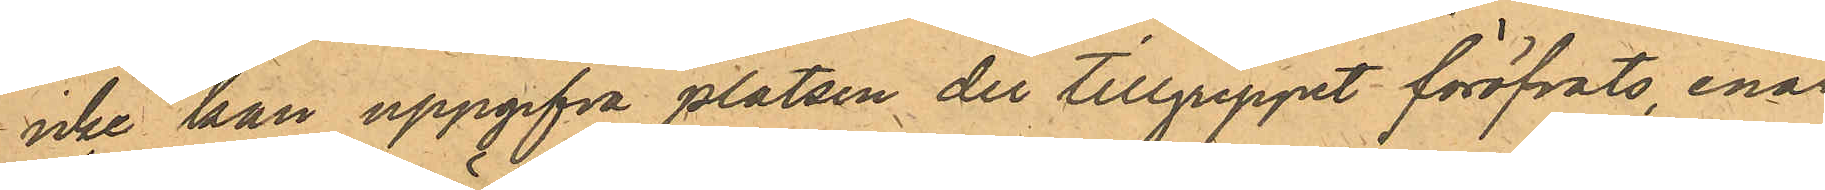icke kan uppgifva platsen der tillgreppet föröfvats, enär
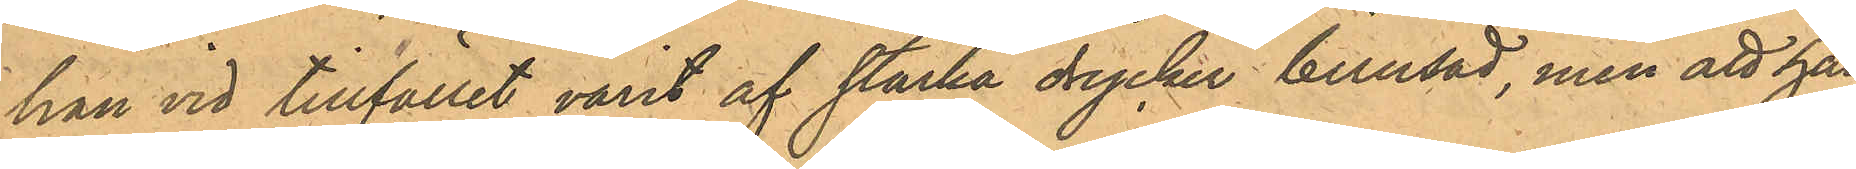han vid tillfället varit af starka drycker berusad, men att han
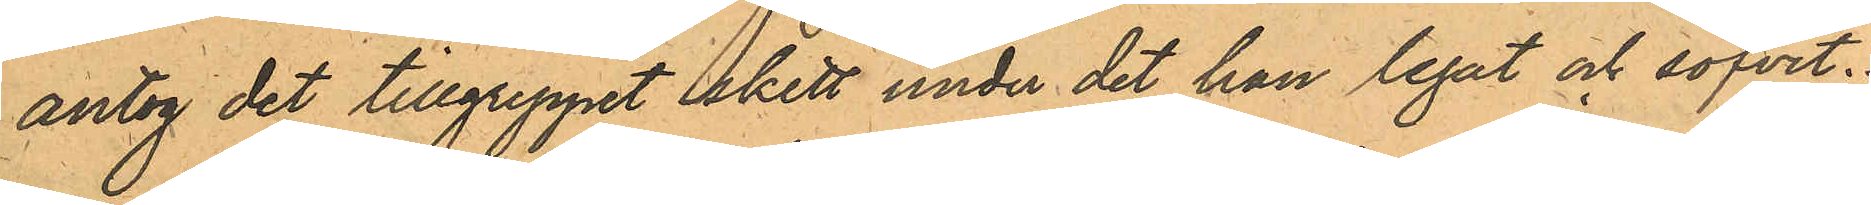antog det tillgreppet skett under det han legat och sofvit.
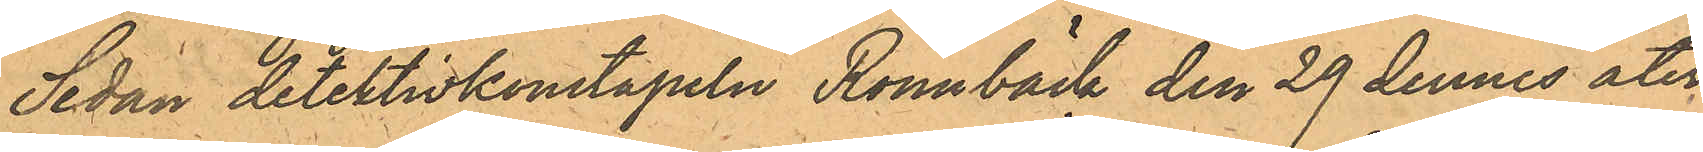Sedan detektivkonstapeln Rönnbäck den 29 dennes åter¬
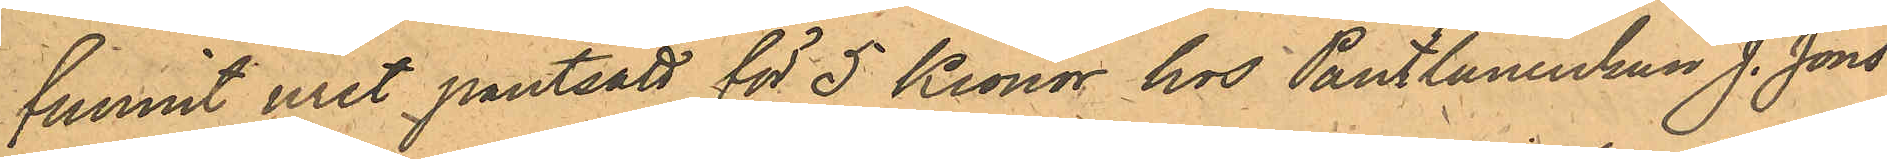funnit uret pantsatt för 5 Kronor hos Pantlånerskan J. Jons¬
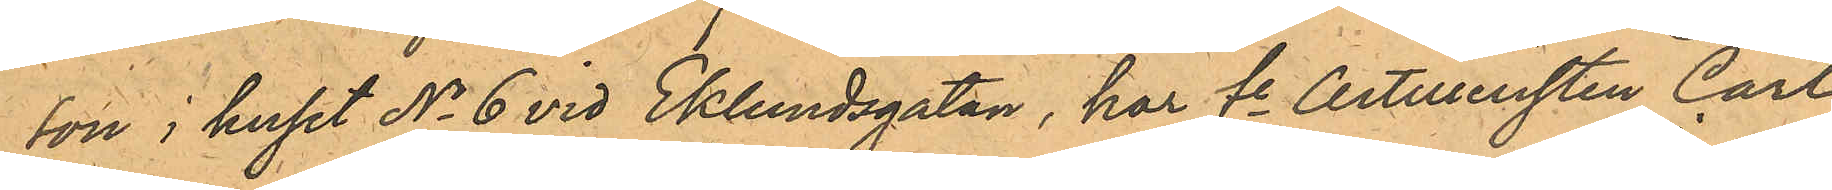son i huset No 6 vid Eklundsgatan, har fe Artilleristen Carl
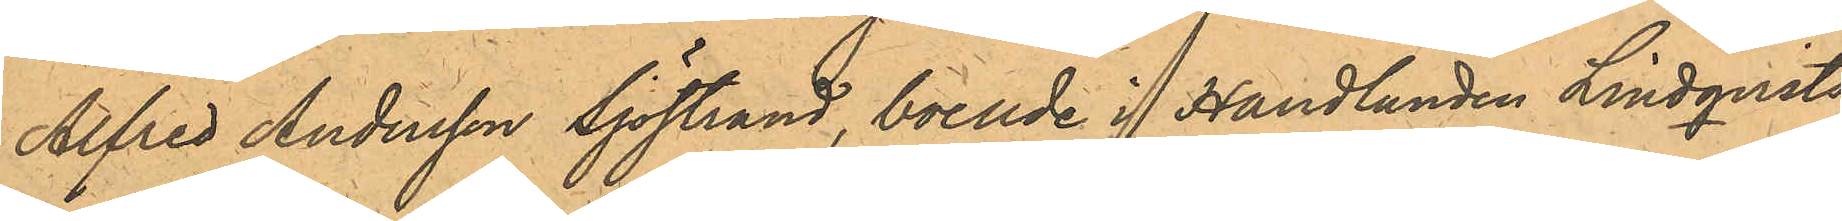Alfred Andersson Sjöstrand, boende i Handlanden Lindqvists
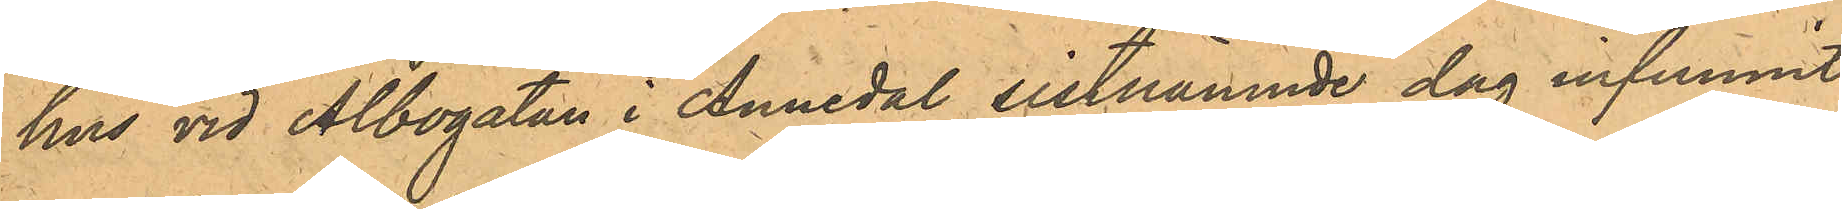hus vid Albogatan i Annedal sistnämnde dag infunnit
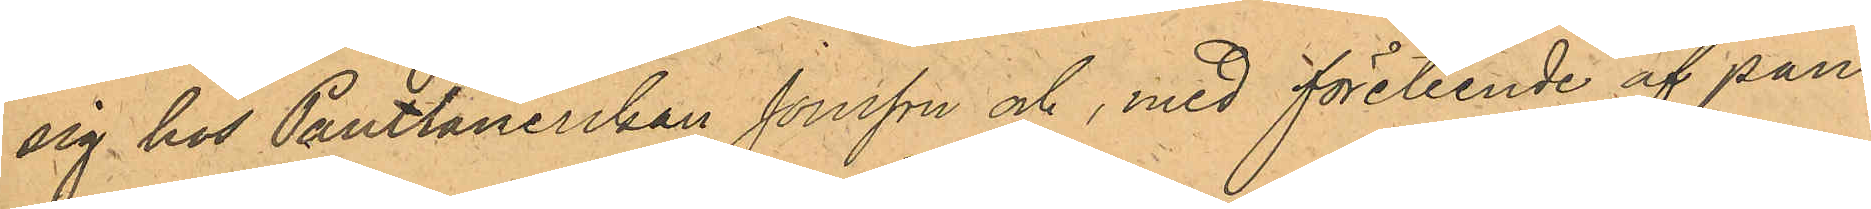sig hos Pantlånerskan Jonsson och, med företeende af pant¬
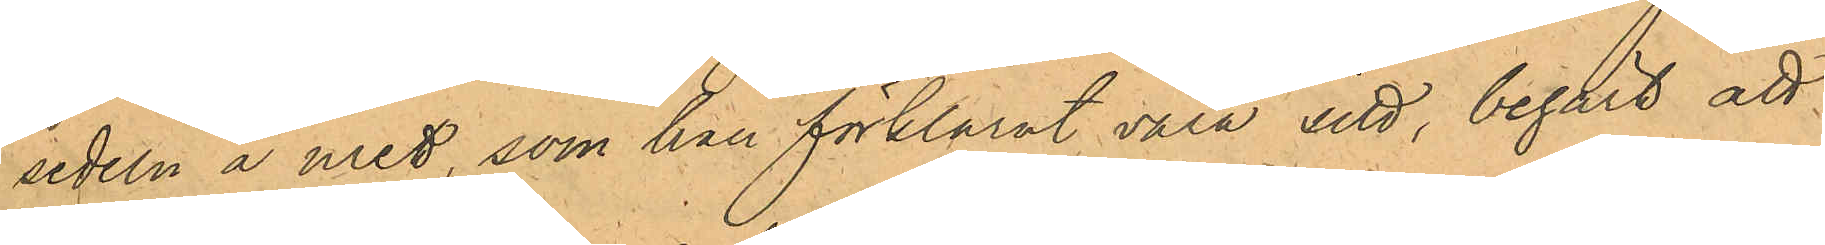sedeln å uret, som han förklarat vara sitt, begärt att
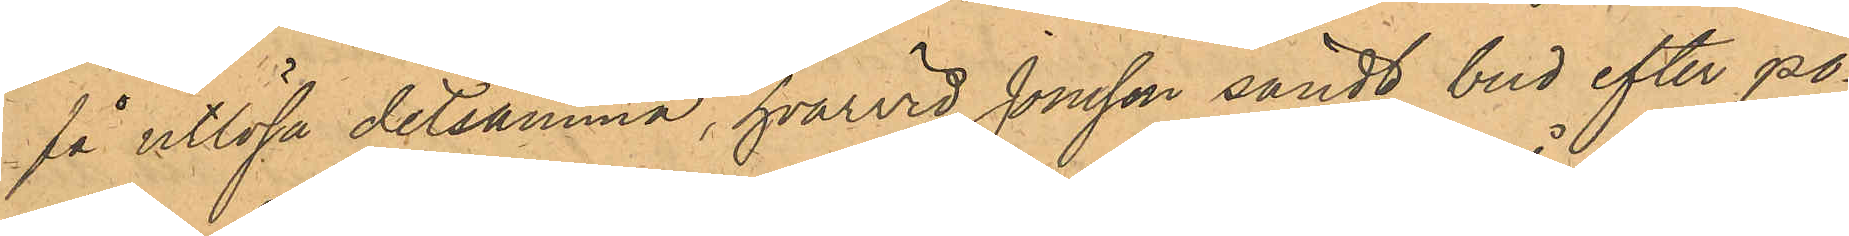få utlösa detsamma, hvarvid Jonsson sändt bud efter po¬
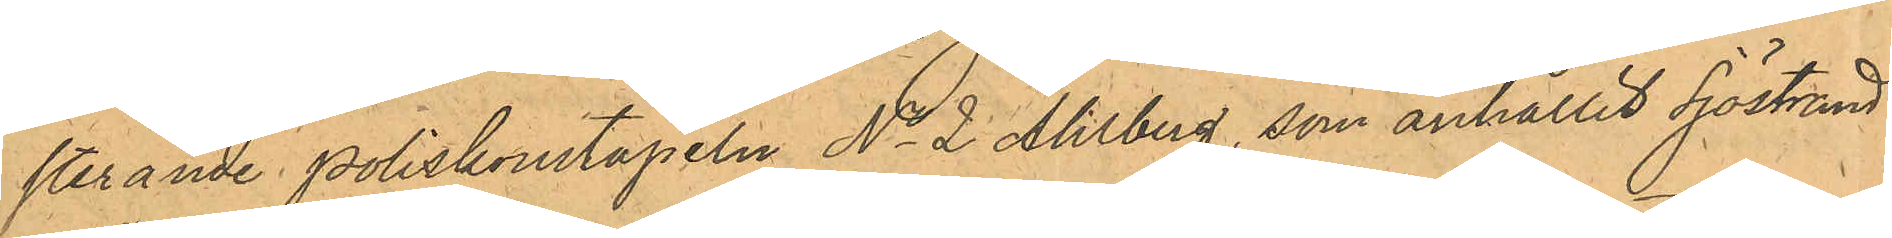sterande Poliskonstapeln No 2 Ahlberg, som anhållit Sjöstrand.
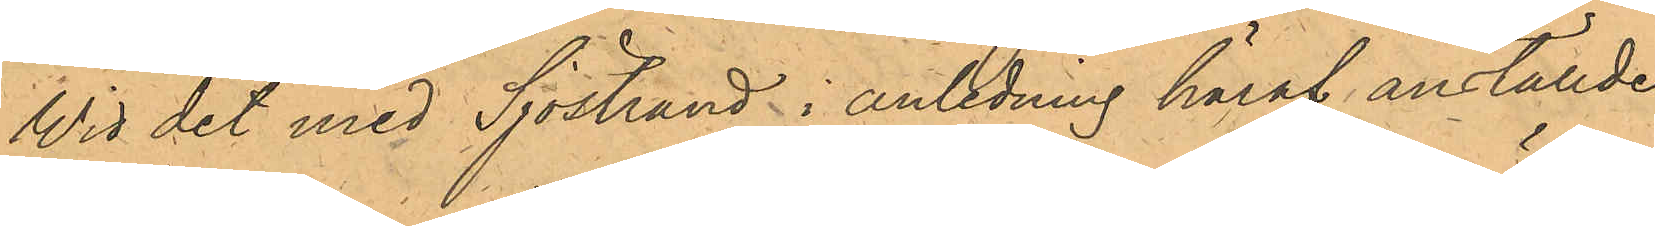Wid det med Sjöstrand i anledning häraf anställde
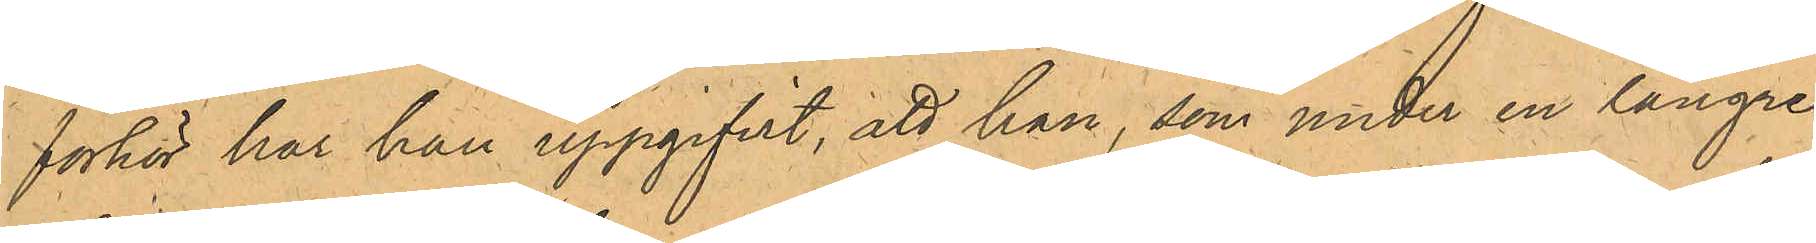förhör har han uppgifvit, att han, som under en längre
